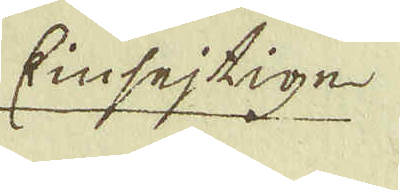Einsejtige
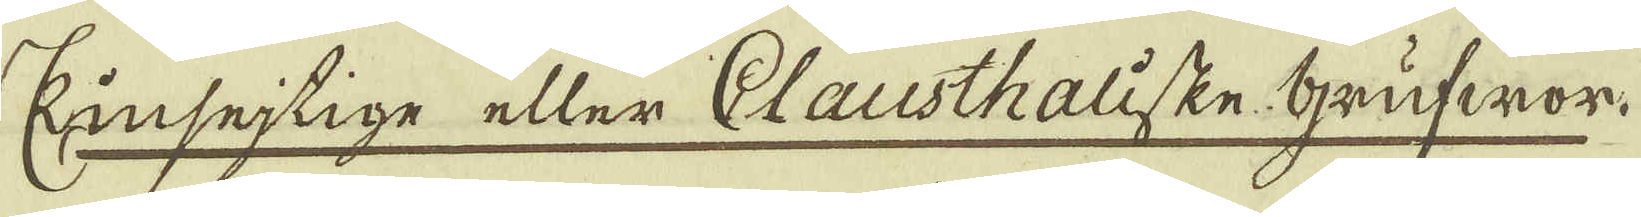Kinsejtige eller Clausthaliske Grufwor.
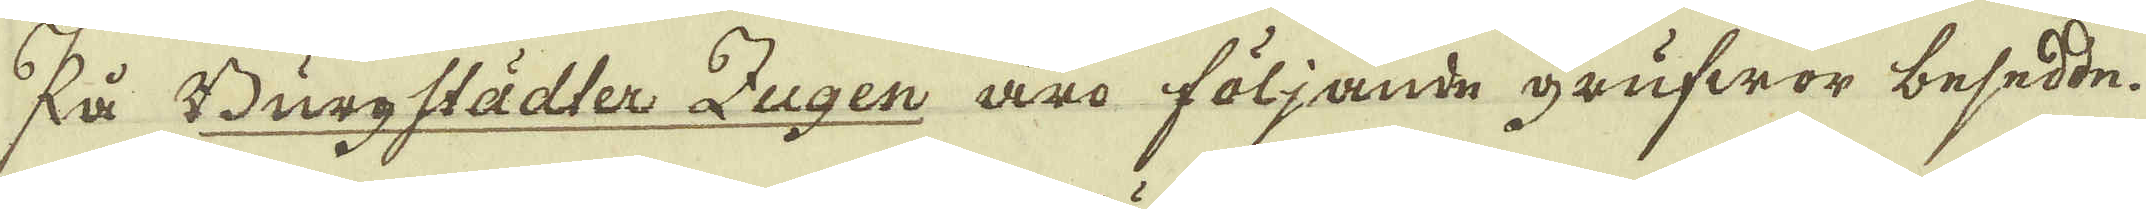På Burgstädter Zugen äro följande grufwor besedde,
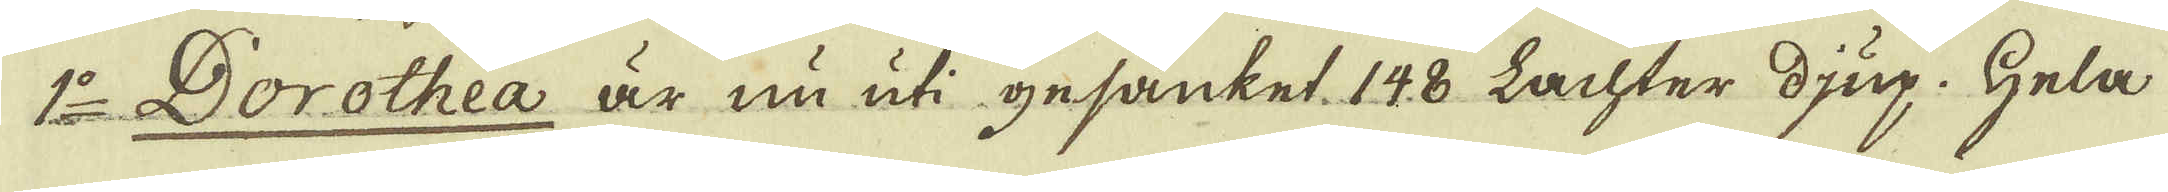1:o Dorothea är nu uti gesänket. 148 Lachter djup. Hela
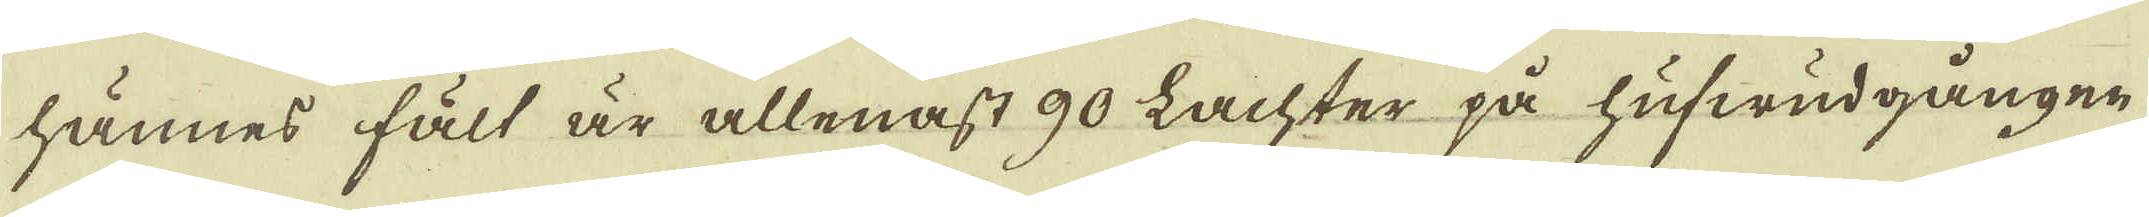hännes fält är allenast 90 Lachter på hufwudgången
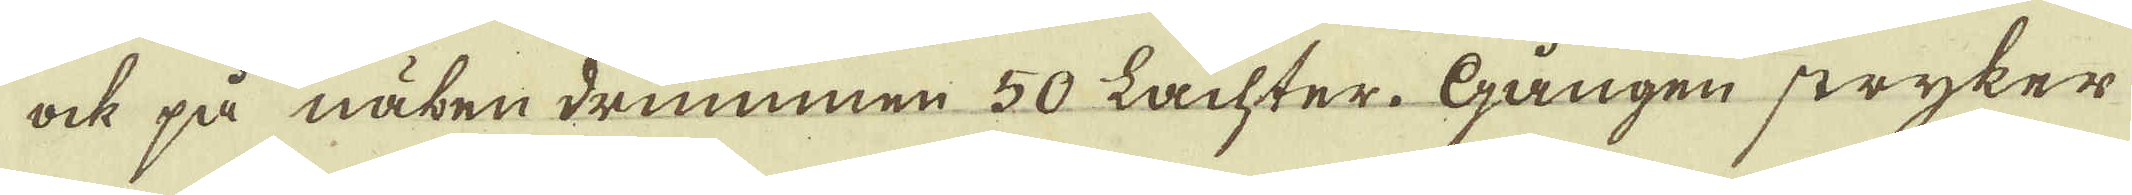ock på näben drummen 50 Lachter. Gången stryker
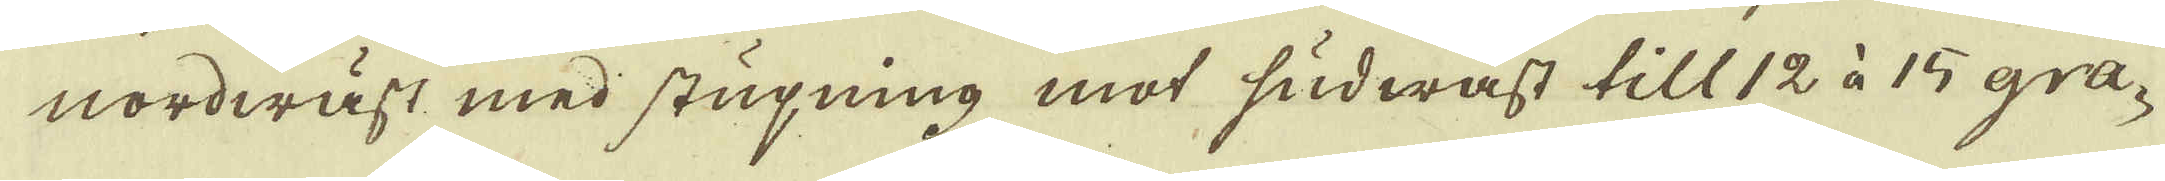nordwäst med stupning mot sudwäst till 12 à 15 gra-
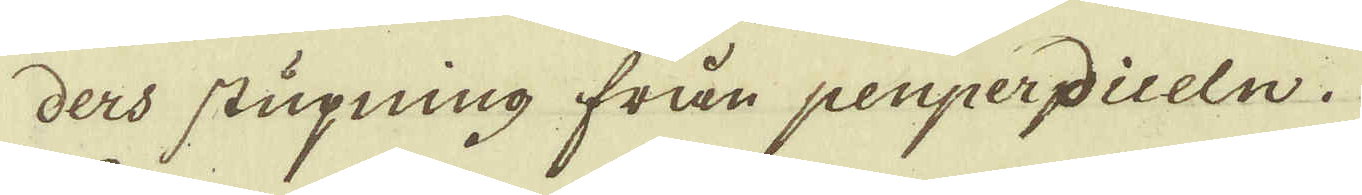ders stupning från penpereiceln.
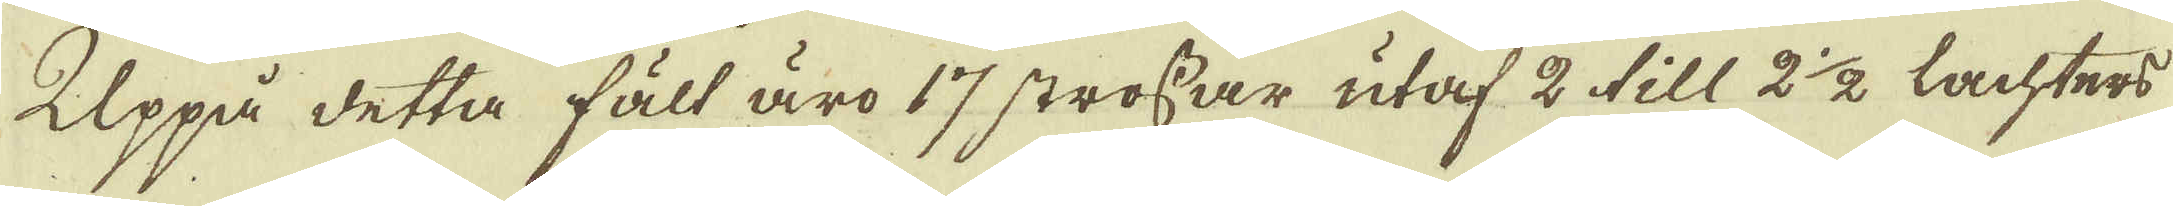Uppå detta fält äro 17 strossar utaf 2 till 2 1/2 lachters
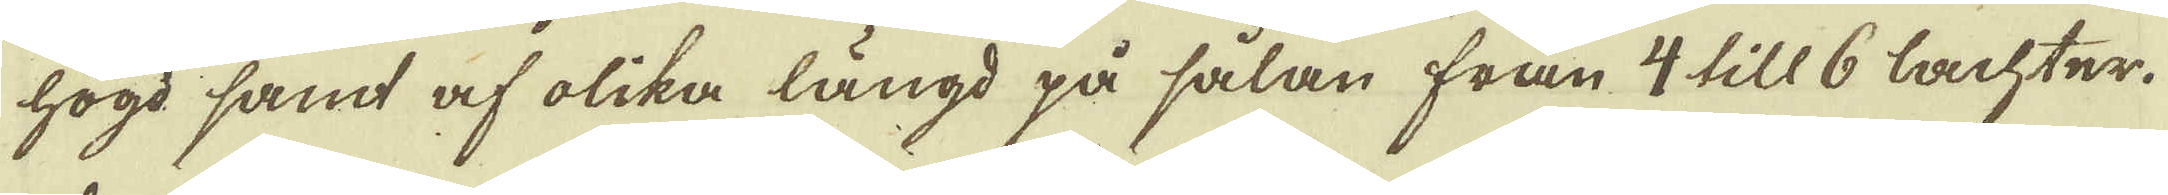högd samt af olika längd på sålan från 4 till 6 Lachter,
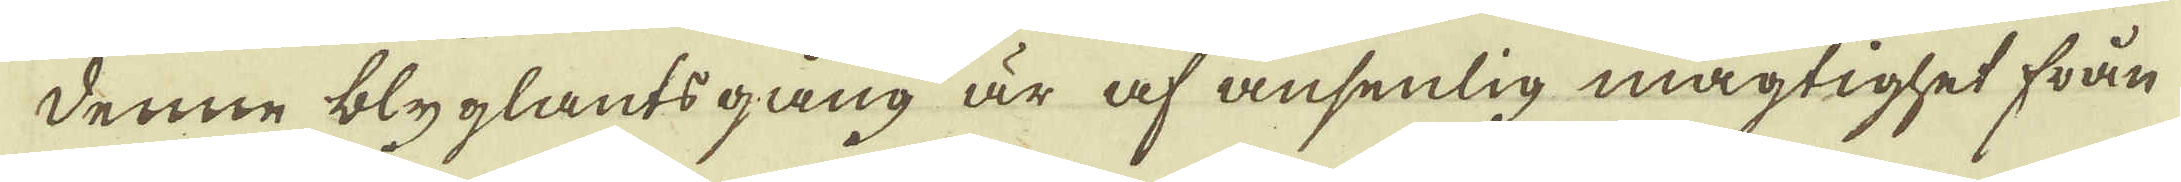Denne blyglantsgång är af ansenlig mägtighet från
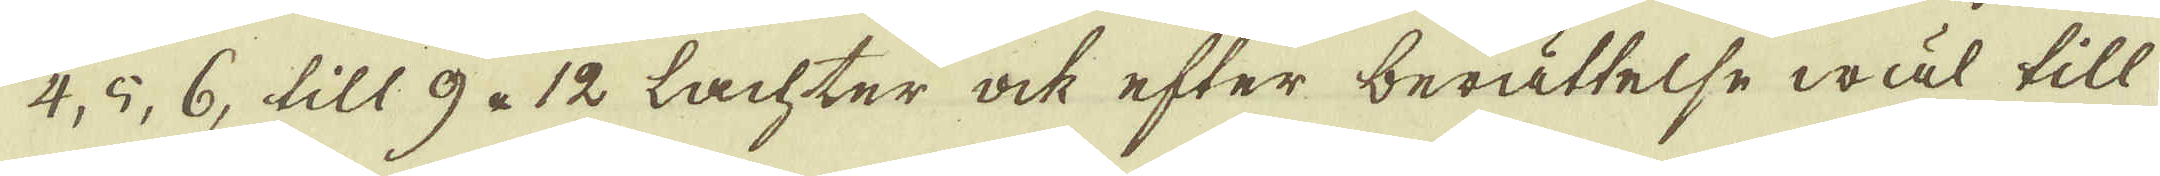4, 5, 6, till 9 à 12 Lachter ock efter berättelse wäl till
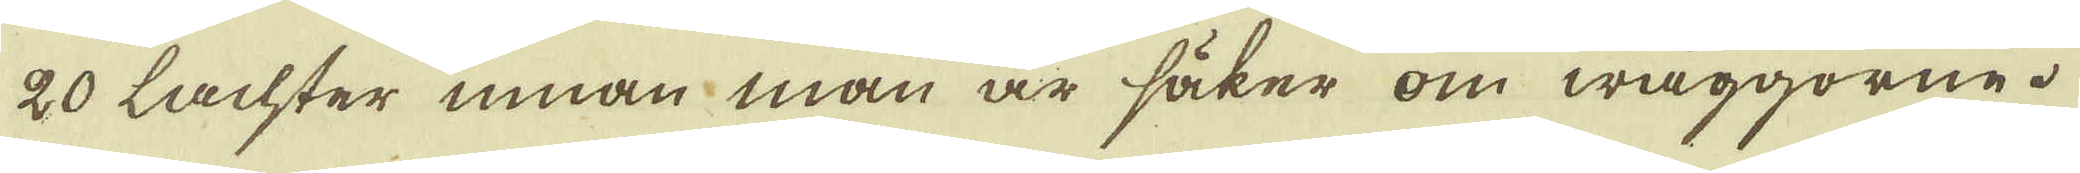20 Lachter innan man är säker om wäggorne.
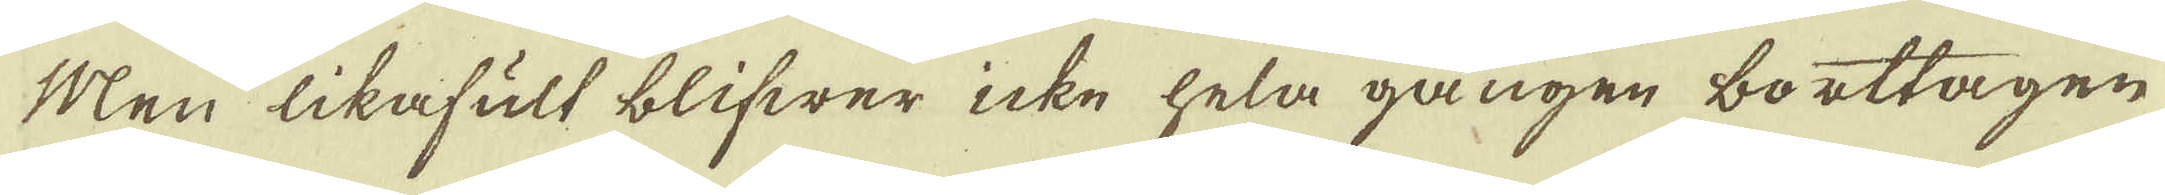Men likafult blifwer icke hela gången borttagen
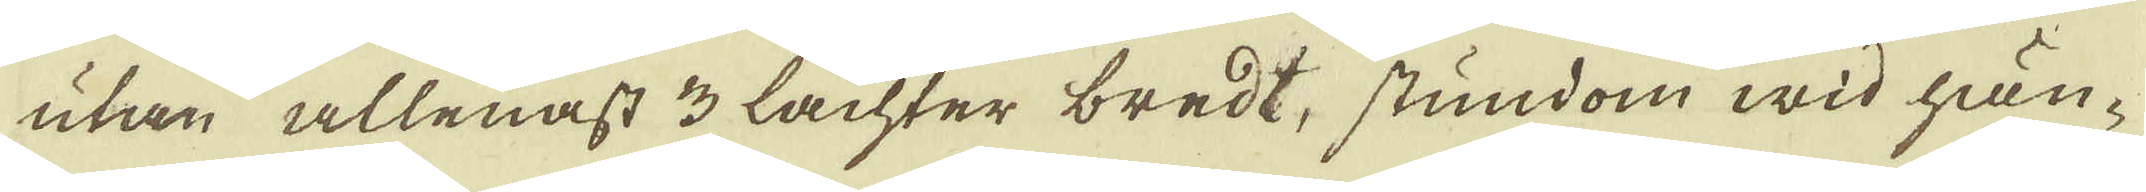utan allenast 3 Lachter bredt, stundom wid hän-
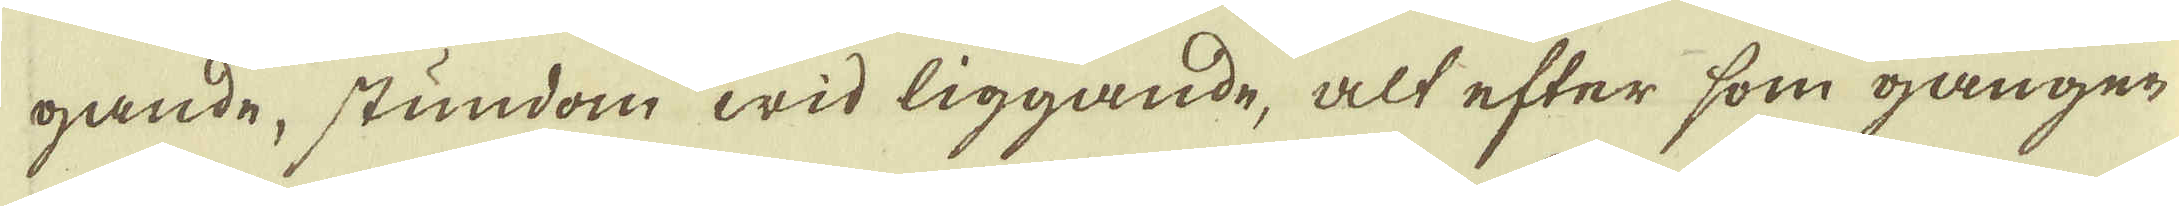gande, stundom wid liggande, alt efter som gången
